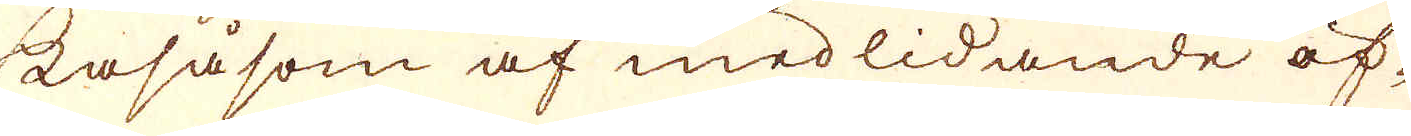kasåsom af medlidande öf-
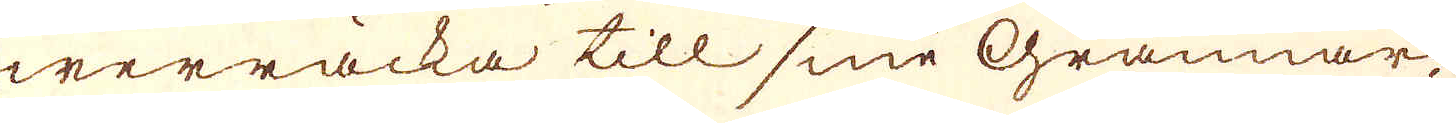werräcka till sine Grannar,
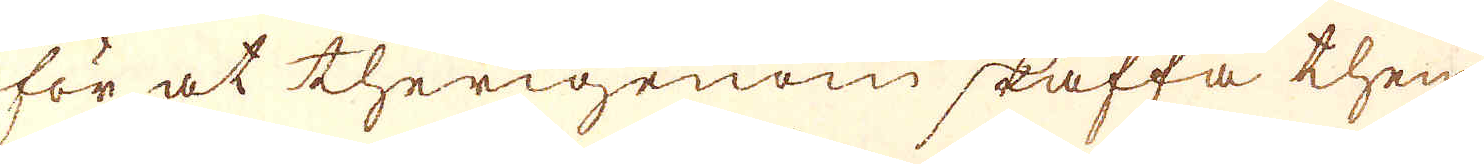för at therigenom skaffa them
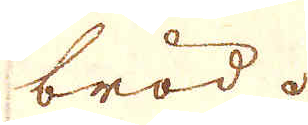bröd.
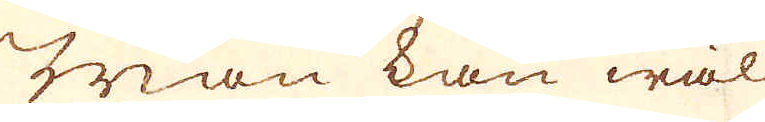Man kan wäl
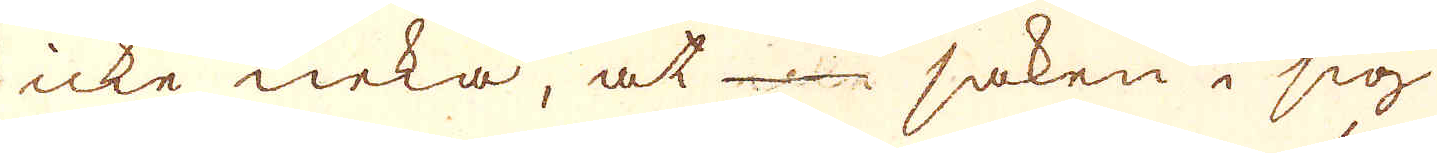icke neka, at saken i sig
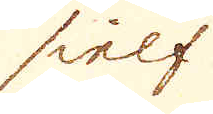sielf
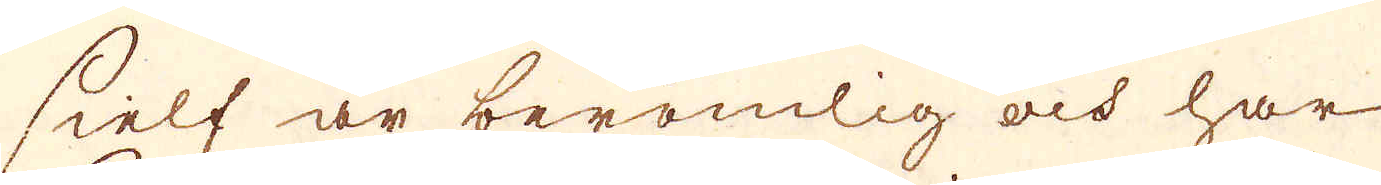sielf är berömlig och har
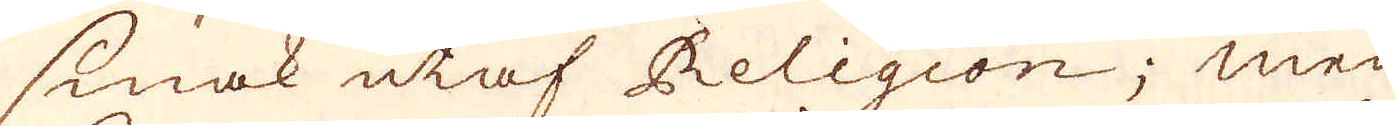smak utaf Religion; men
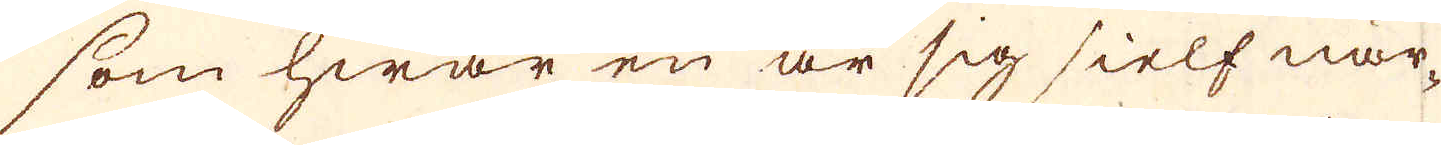som hwar en är sig sielf när-
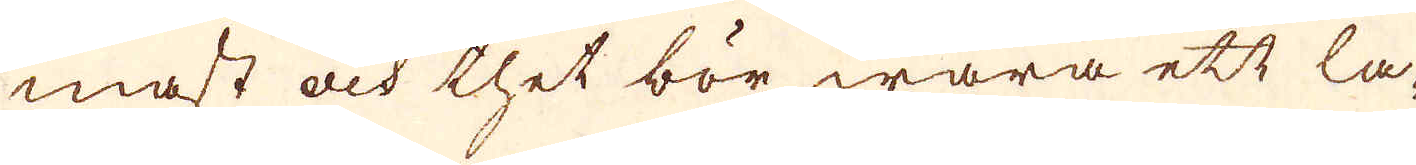mast och thet bör wara ett la-
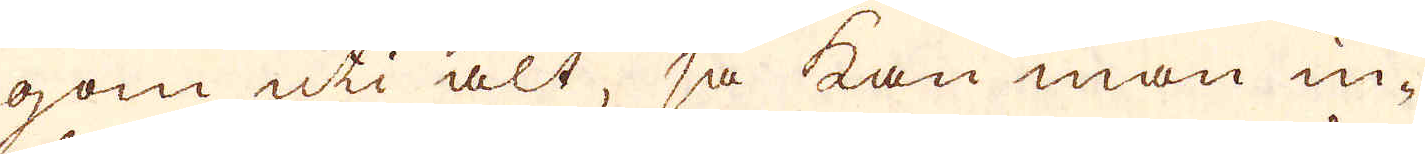gom uti alt, så kan man in-
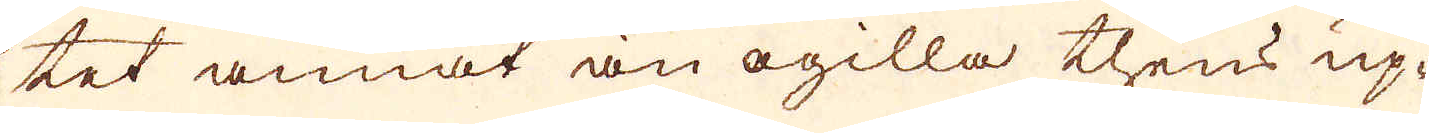tet annat än ogilla thens up-
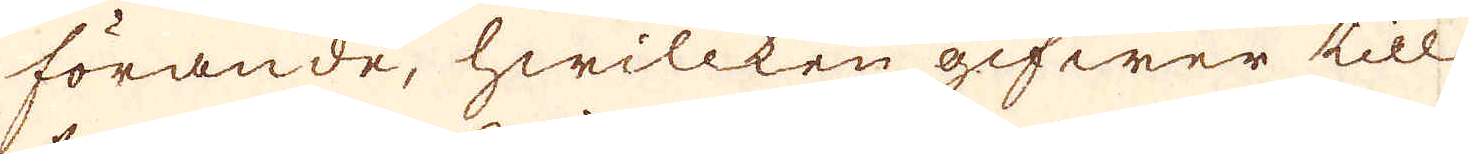förande, hwillken gifwer till
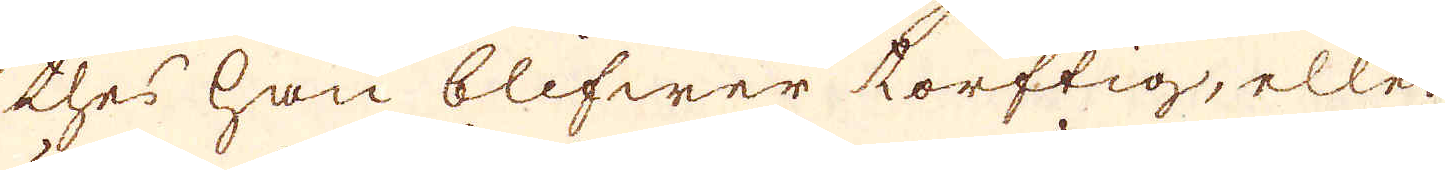thes han blifwer torftig, eller
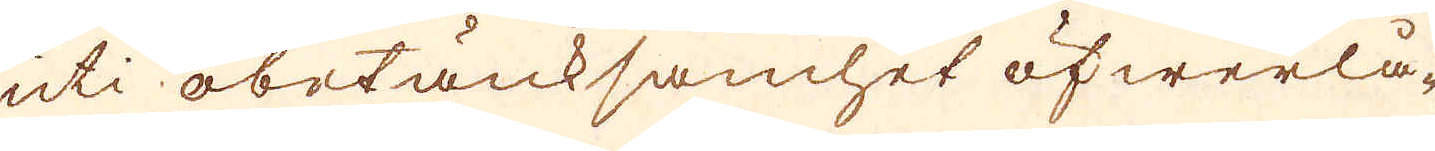uti obetänksamhet öfwerlå-
